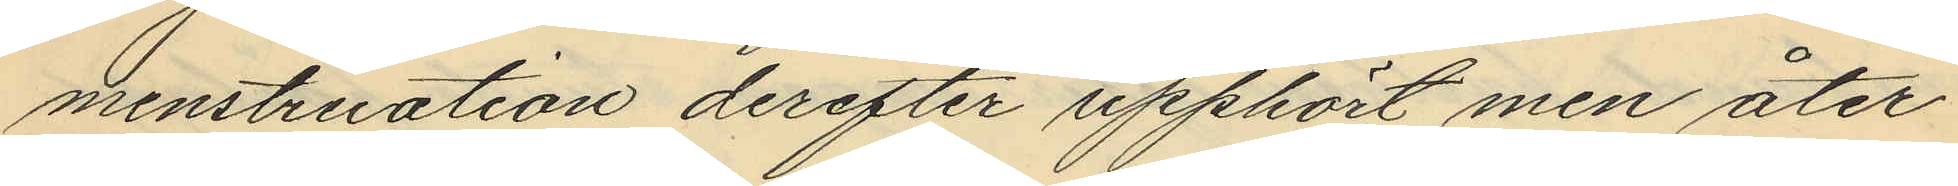menstruation derefter upphört men åter¬
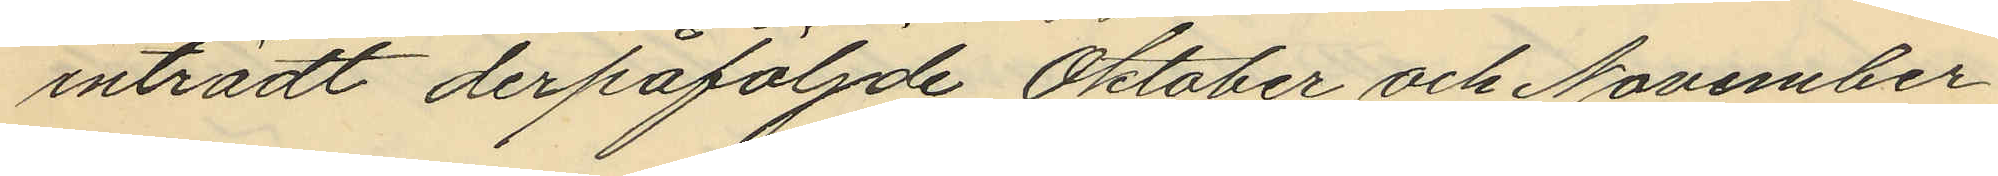inträdt derpåföljde Oktober och November
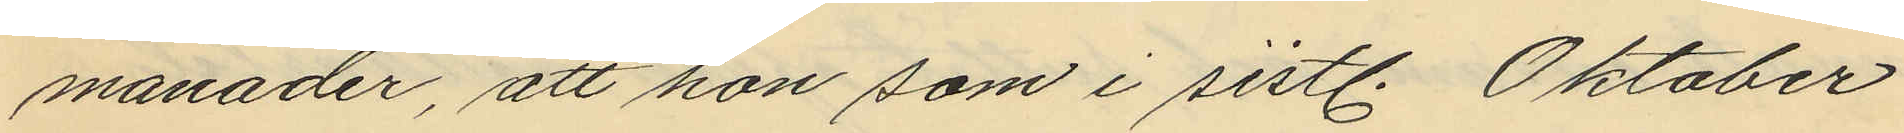månader, att hon som i sistl. Oktober
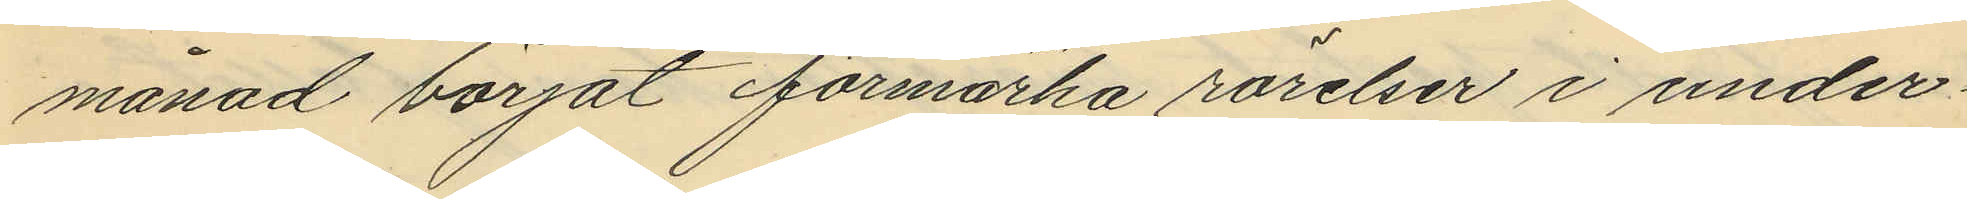månad börjat förmärka rörelser i under¬
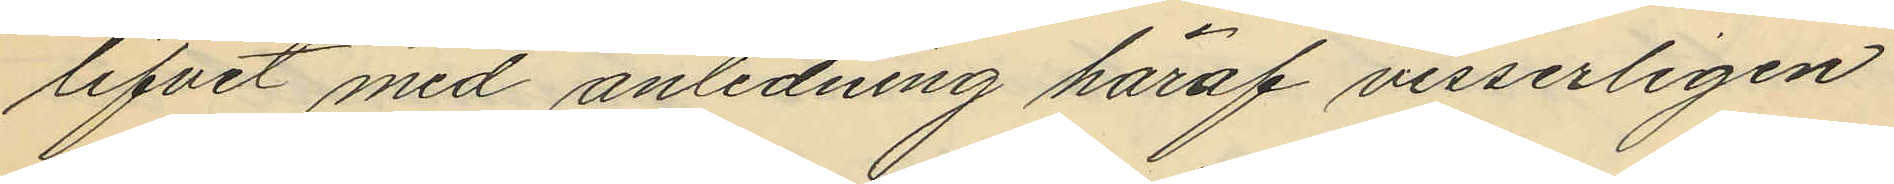lifvet med anledning häraf visserligen
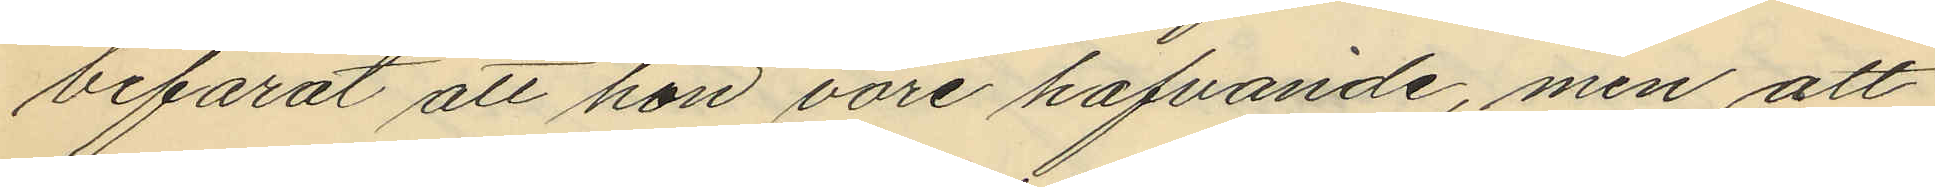befarat att hon vore hafvande, men att
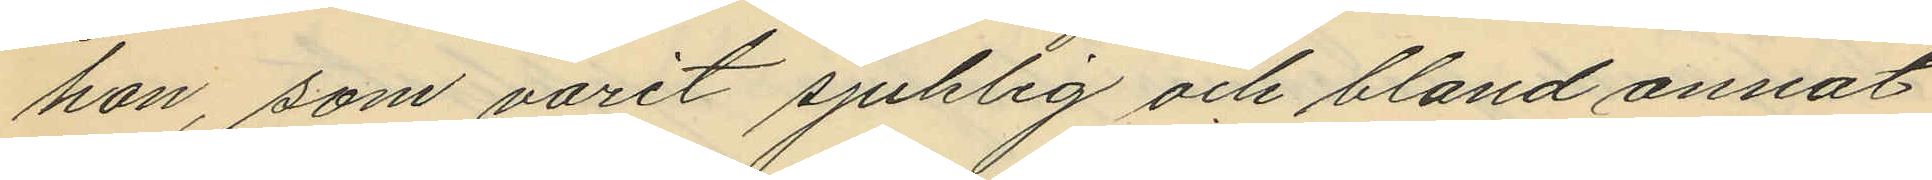hon, som varit sjuklig och bland annat
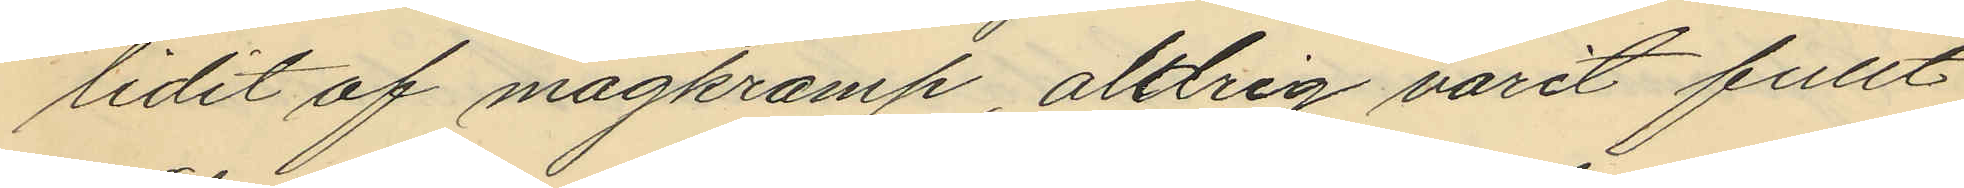lidit af magkramp, aldrig varit fullt
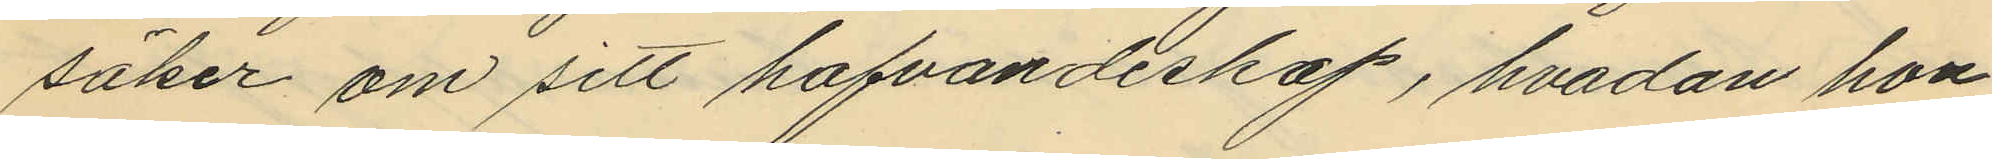säker om sitt hafvandeskap, hvadan hon
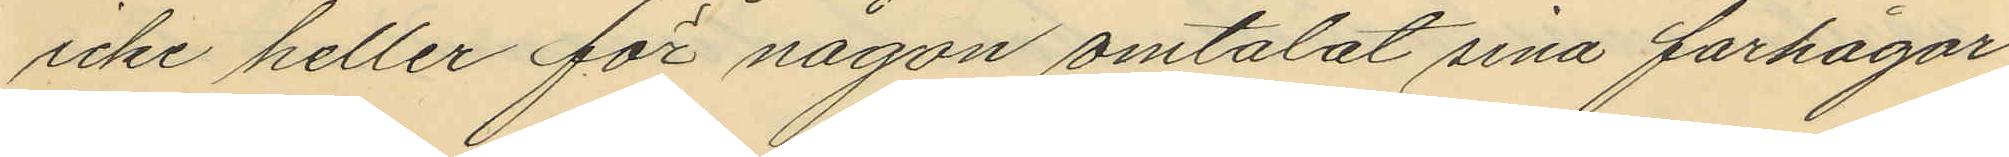icke heller för någon omtalat sina farhågor,
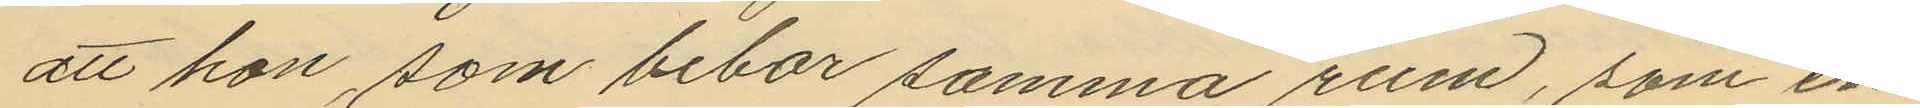att hon som bebor samma rum, som en
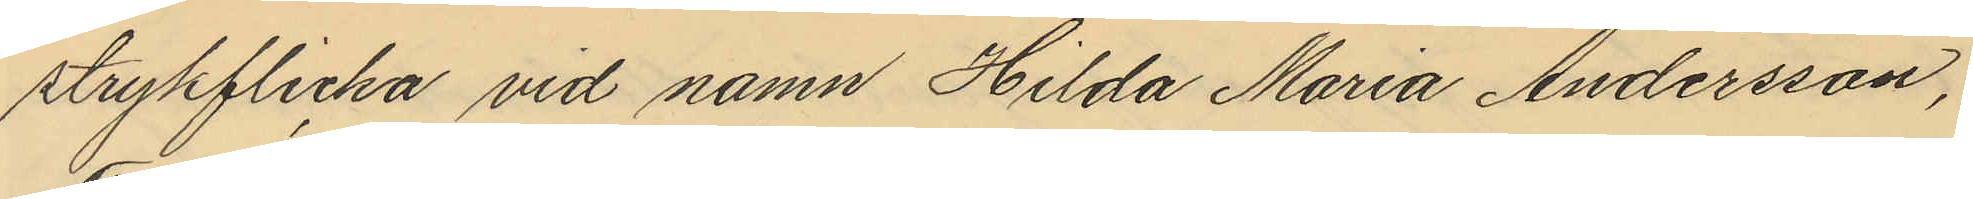strykflicka vid namn Hilda Maria Andersson,
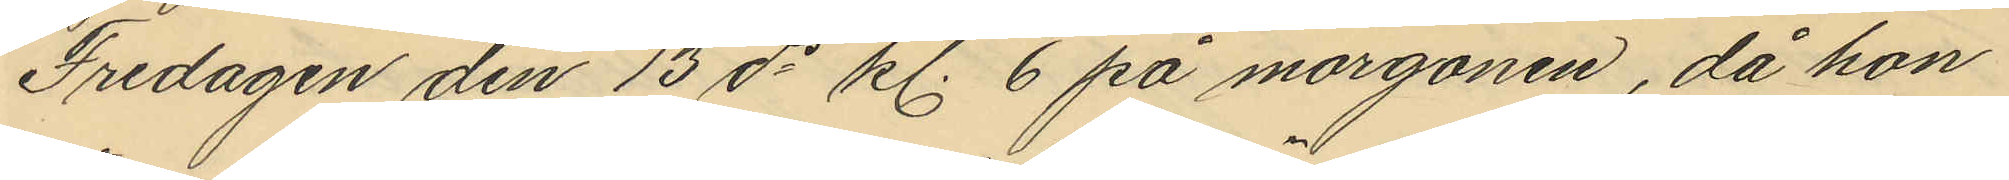Fredagen den 13 ds kl. 6 på morgonen, då hon
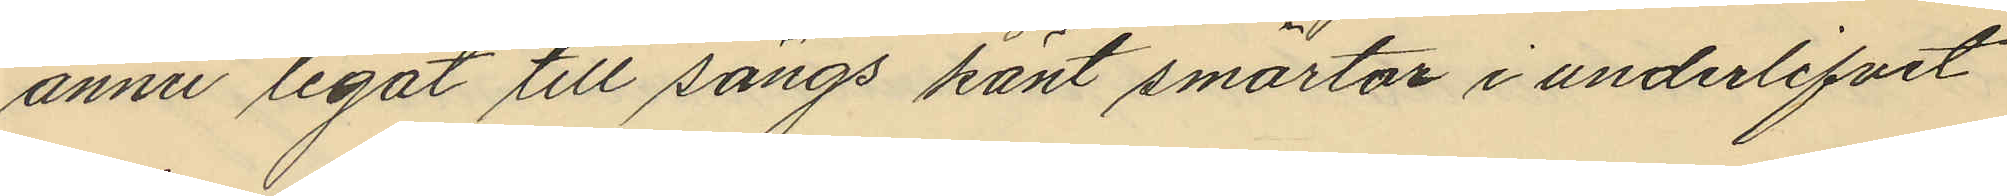ännu legat till sängs känt smärtor i underlifvet
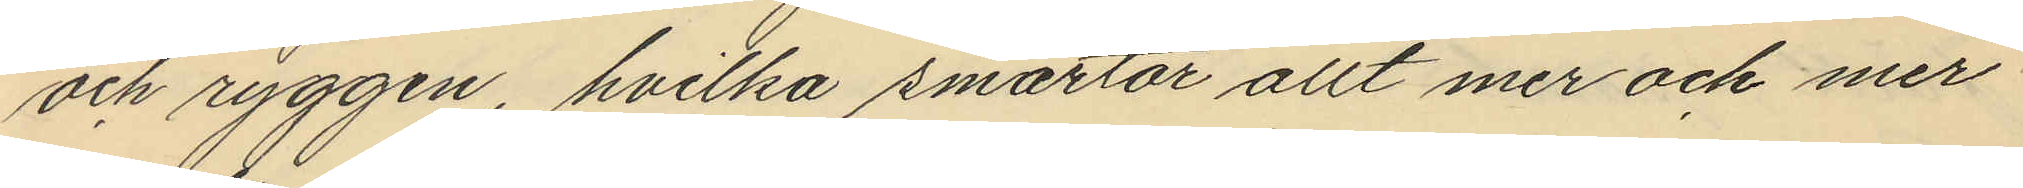och ryggen, hvilka smärtor allt mer och mer
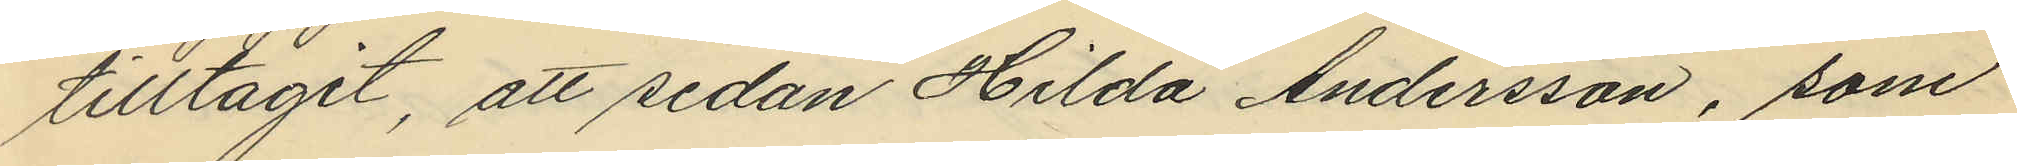tilltagit, att sedan Hilda Andersson, som
